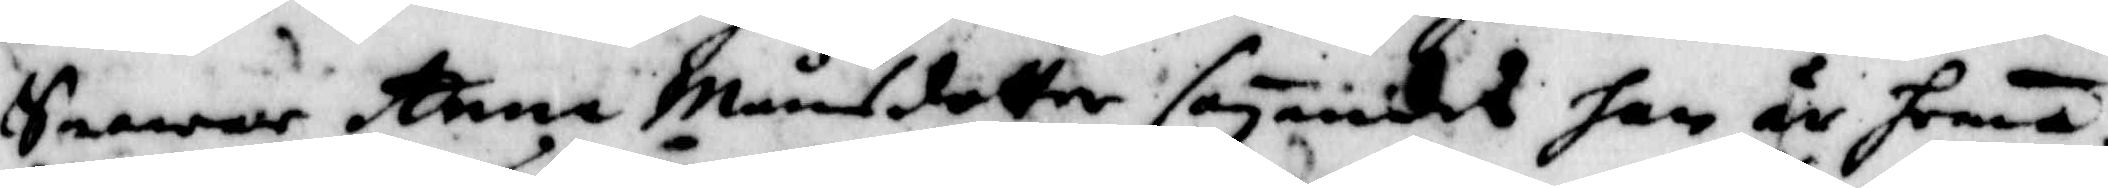Swarar Anna Månsdotter säyandes han är hema.
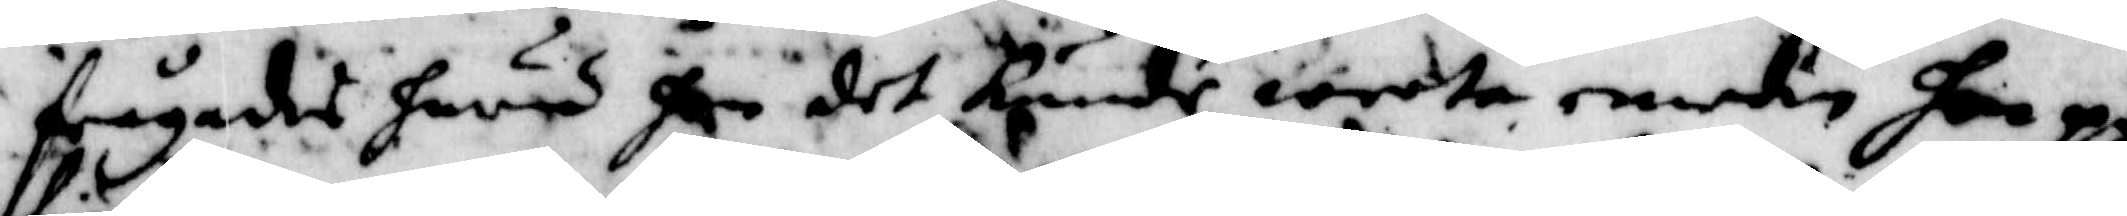frågades huru hon det kunde weeta emedan hon på
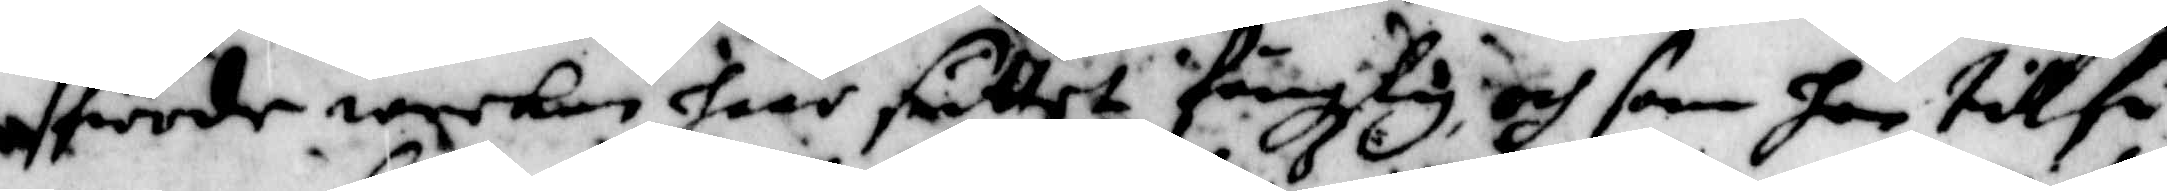fierde weckan haar suttet fängzlig och som hon till fö¬
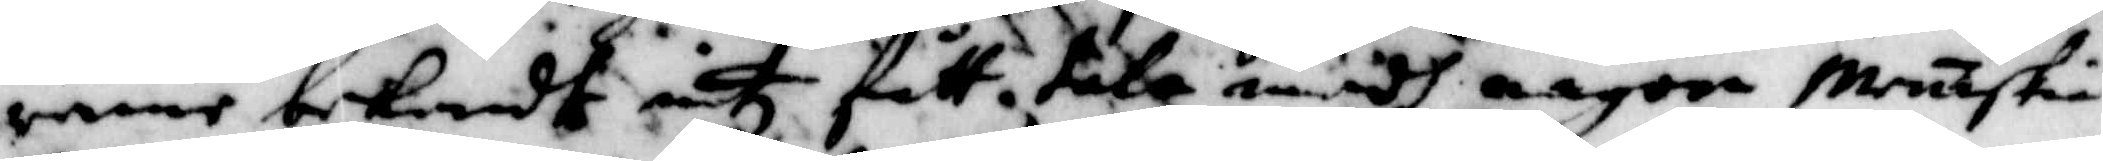rende bekendt intz fått tala medh någon mäniska.
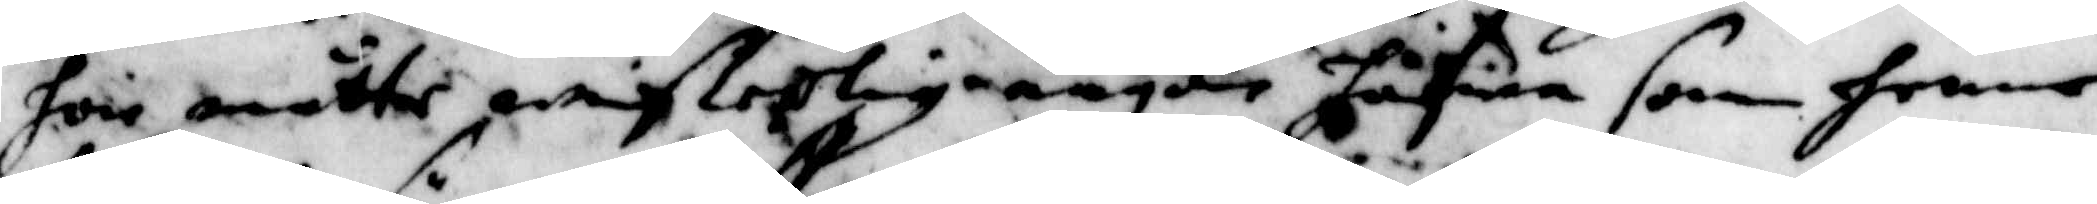hon måtte wißerlig någon hafwa som henne
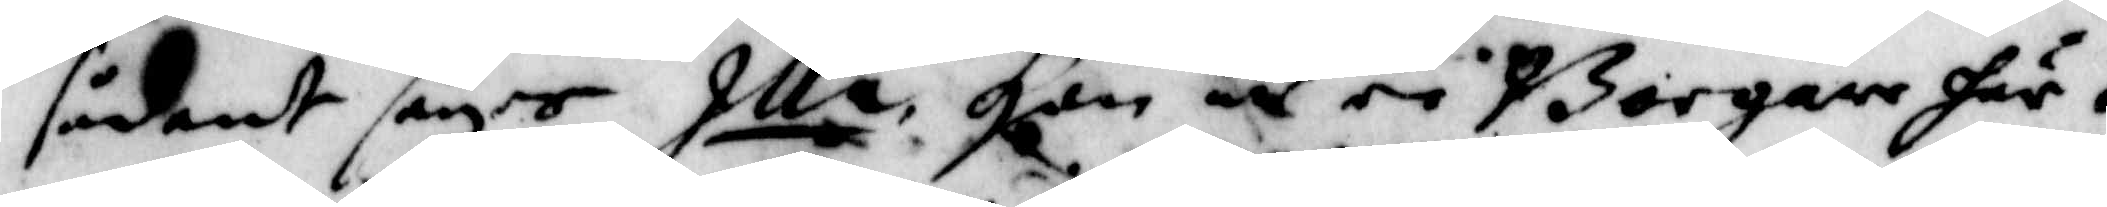sådant säyer Illa Han äre Borgare här i
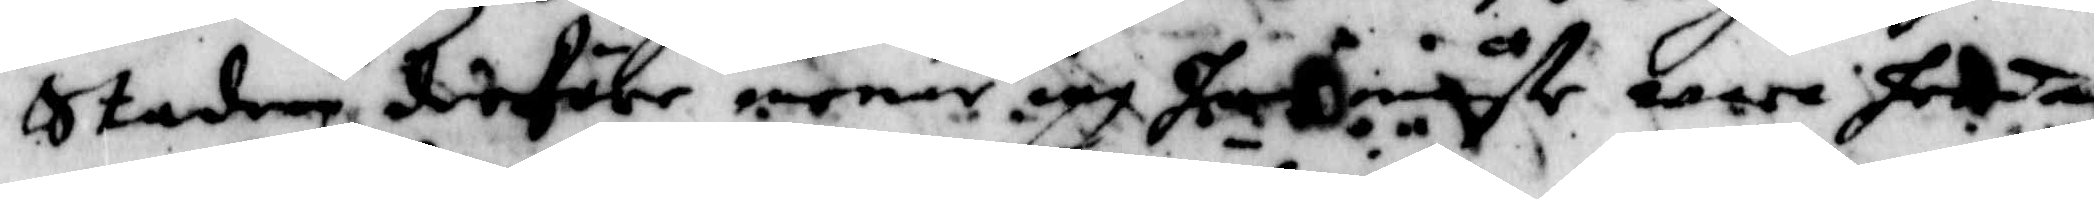Staden derföre menar iag han måste wara hema
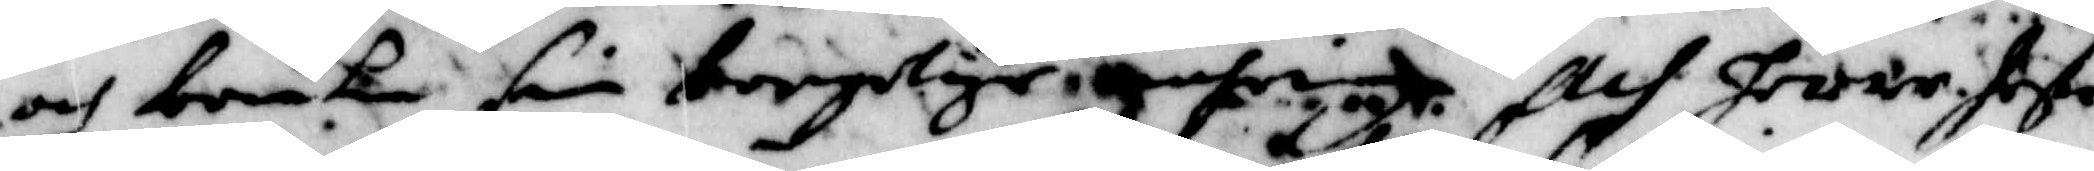och bruka sin borgelige gärning. och hwar hoste
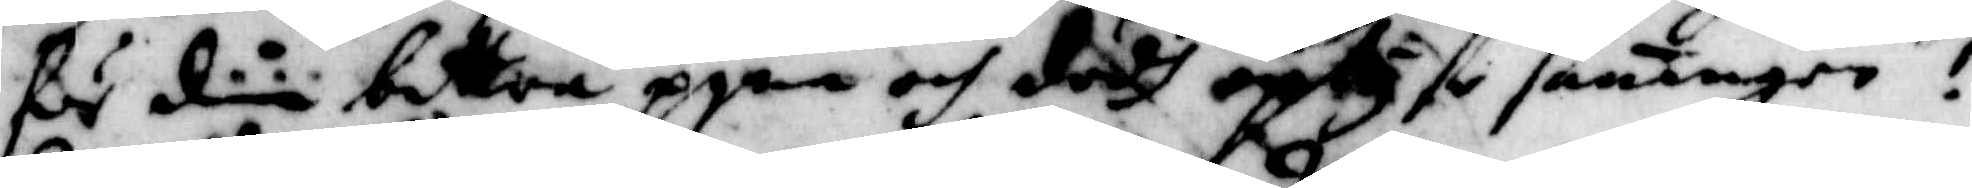ske din bettra pina och dödh oplyse saningen!
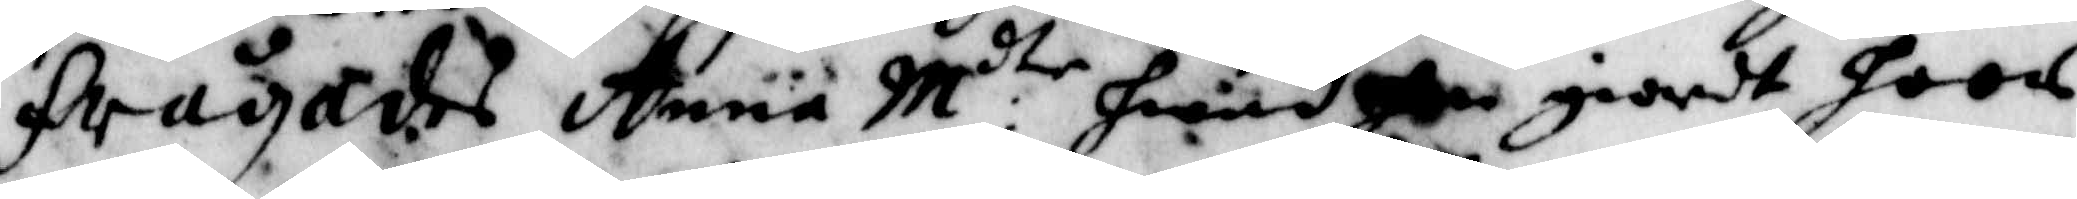Frågades Anna M:dtr hwad hon giordt hoos
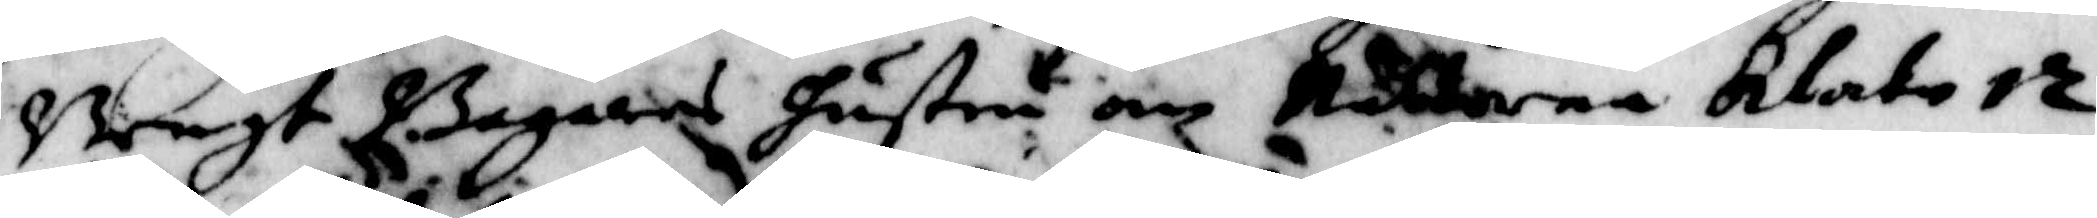bengt Bagares Hustru om Nätterna klatetz.
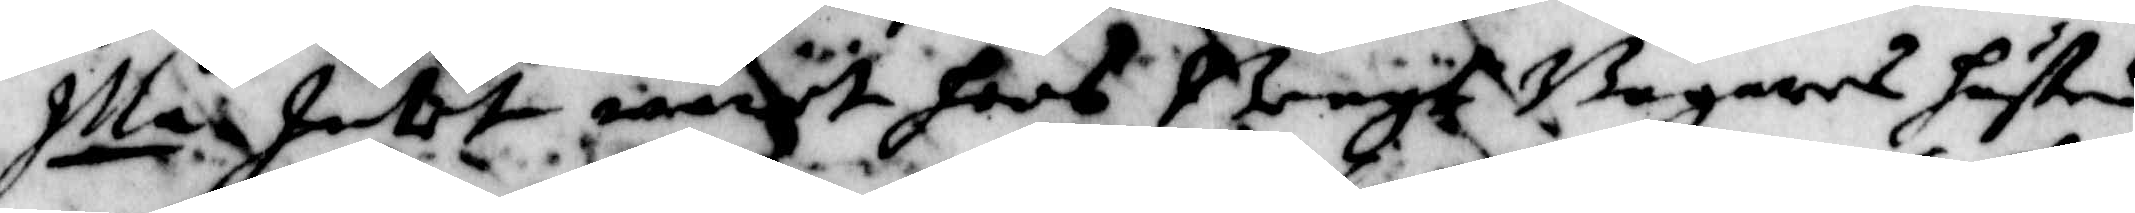Illa Intet warit hoos Bengt Bagares hustru
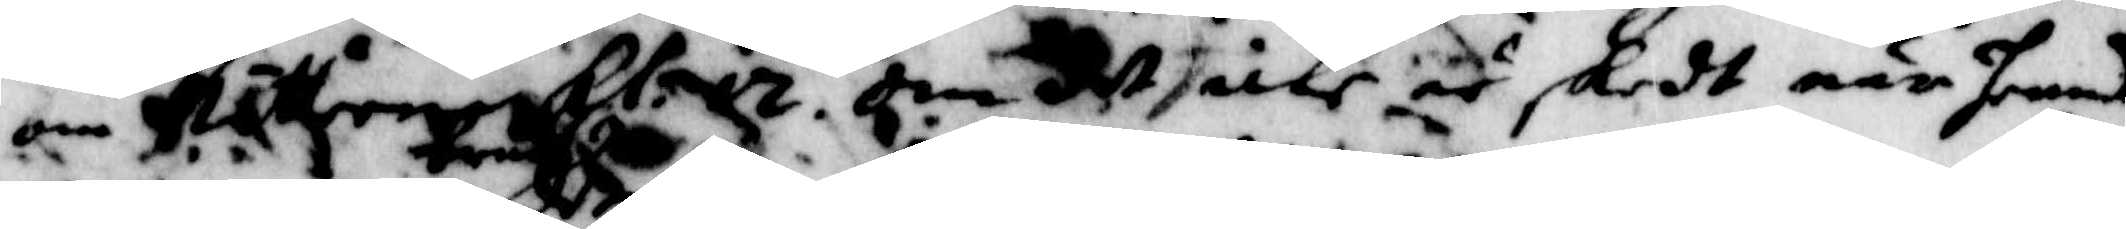om Nätterns kladtz. om det icke är skedt när henne
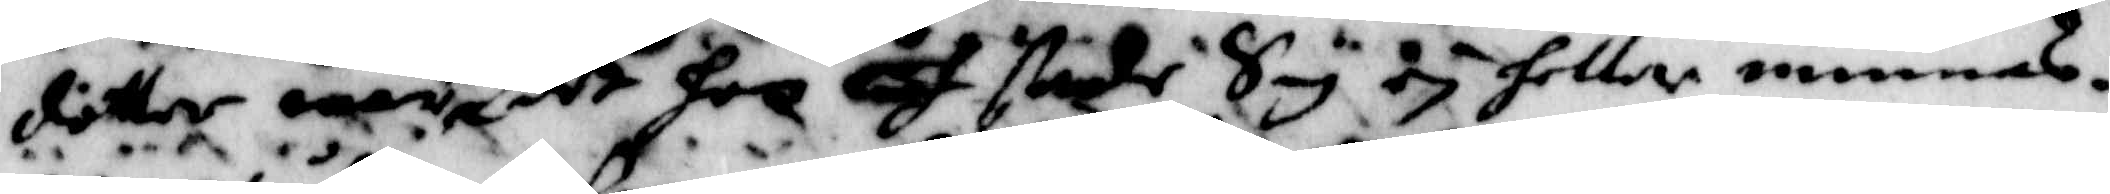dotter war brudh det hon isf stedes Sig ey heller minnas.
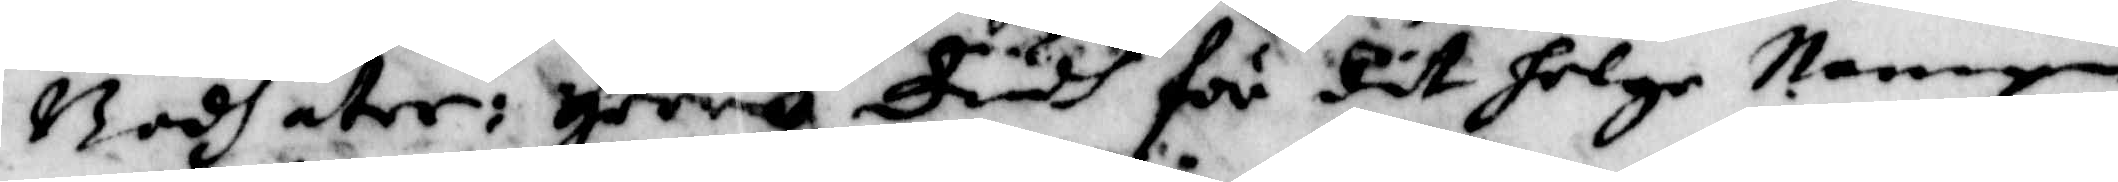Badh åter: Herre Gudh för dit helge Nampn
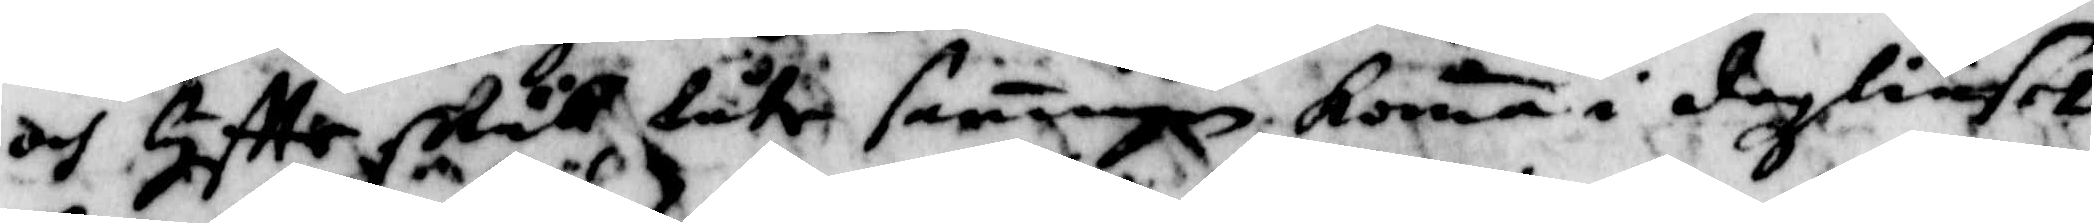och gitte skuk låte saningen koma i dagzliuset
